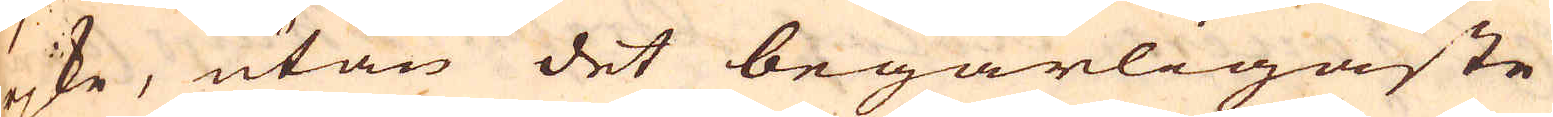rjke, utan det begärligaste
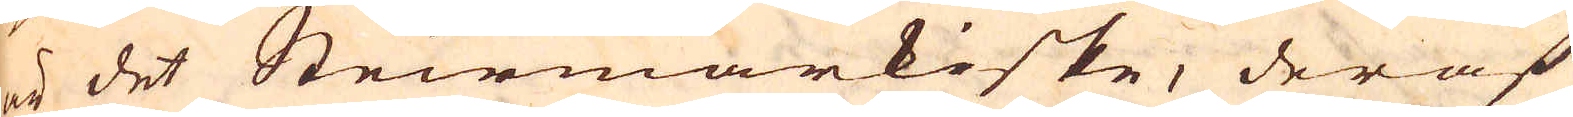är det Steirmarkiske, deraf
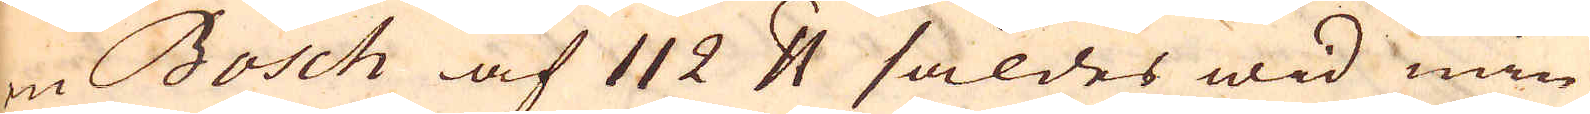en Bosch af 112 skålpund såldes wid min
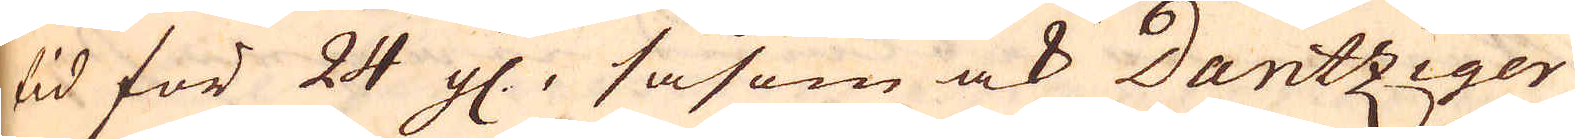tid för 24 gl., såsom ock Dantziger
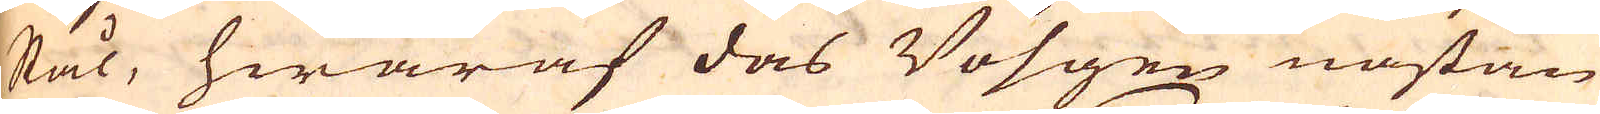stål, hwaraf das Vösgen nästan
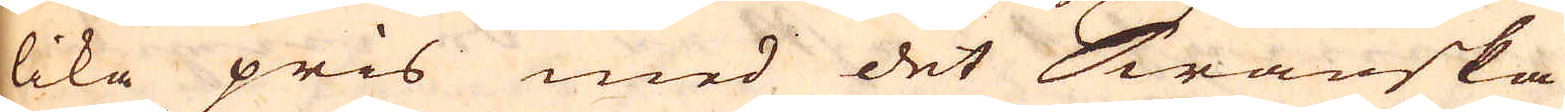lika pris med det Swänska
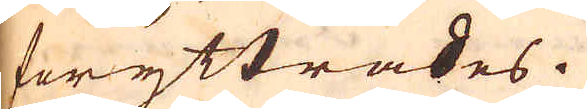föryttrades.
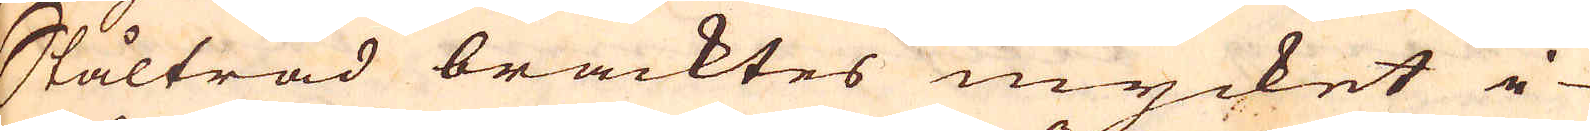Skåltråd bracktes mycket i-
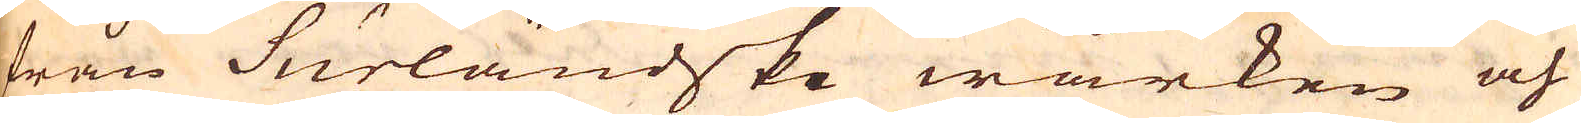från Surländske wärken och
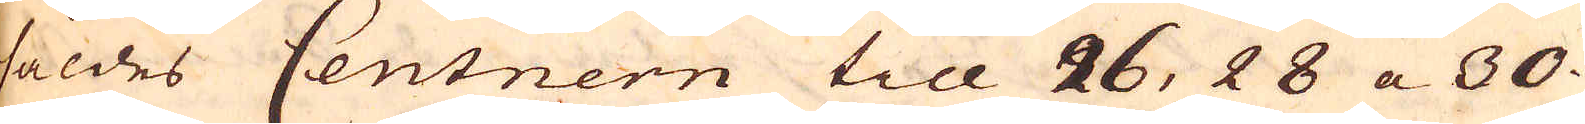såldes Centnern till 26, 28 a 30
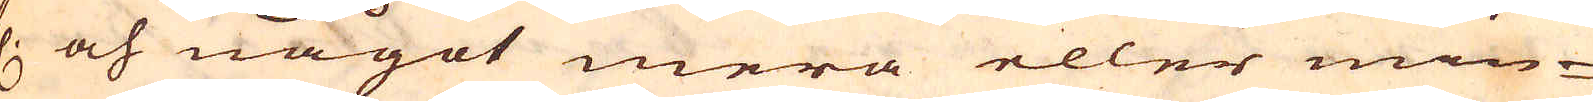f. och något mera eller min-
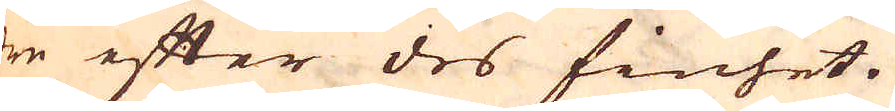dre efter des finhet.
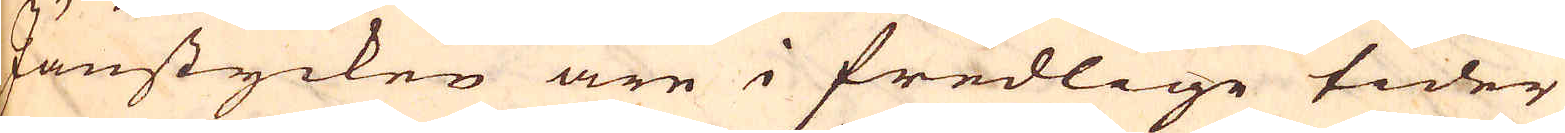Järnstycken äre i fredlige tider
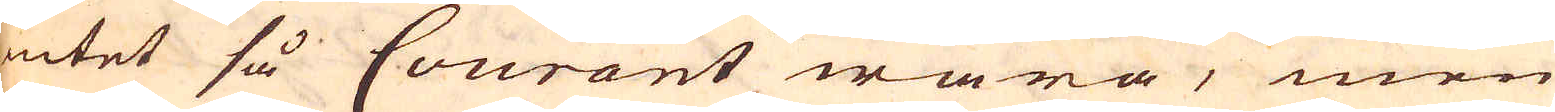intet så Courant wara, men
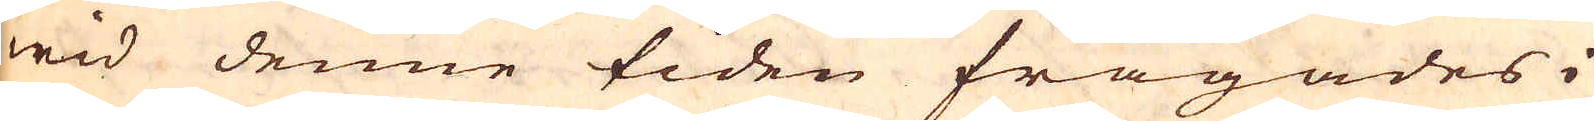wid denne tiden frågades i
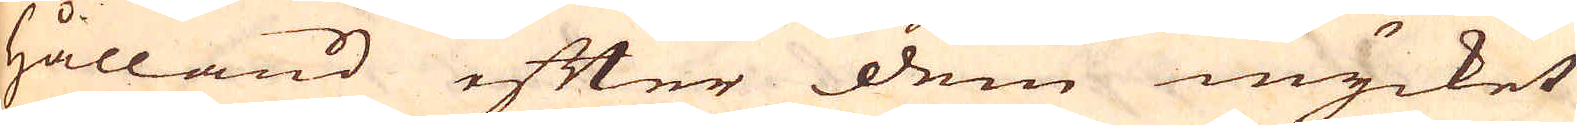Hålland efter dem mycket
